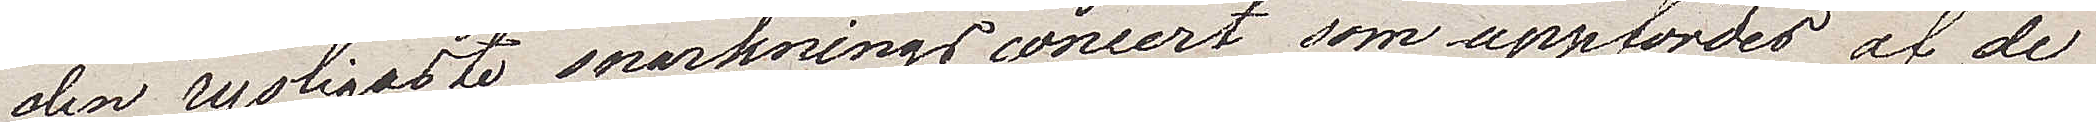den rysligaste snarkningsconcert som uppfördes af de
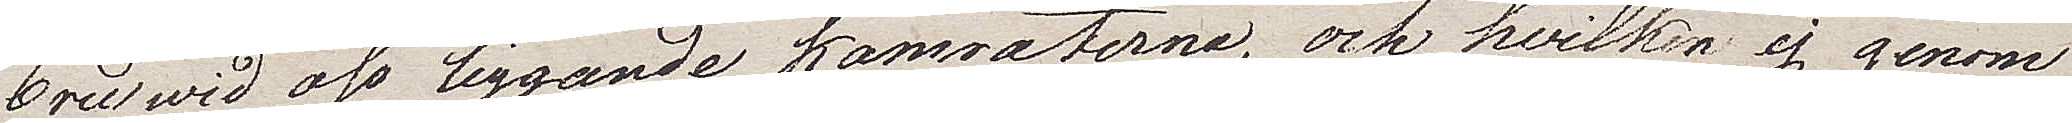2ne vid oss liggande kamraterna, och hwilka ej genom
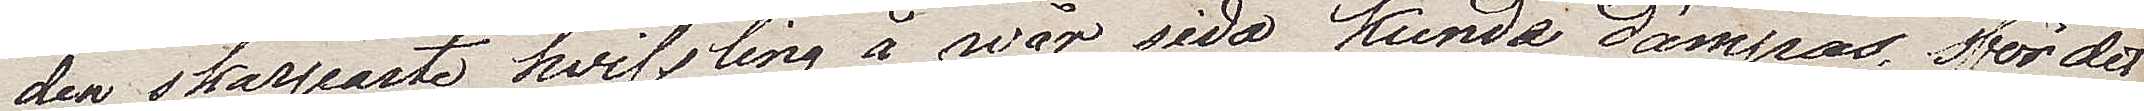den skarpaste hwissling å wår sida kunde dämpas. För det
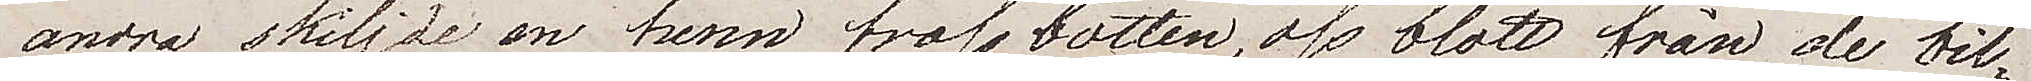andra skiljde en tunn trossbotten oss blott från de bil¬
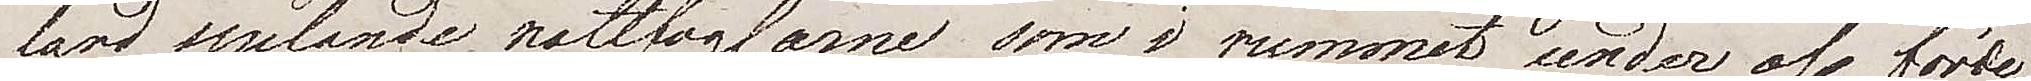jard spelande nattfoglarne som i rummet nedan oss förde
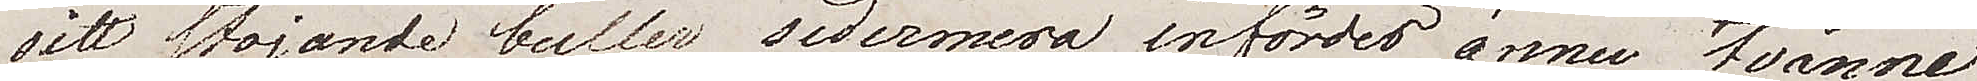sitt stojande buller; sedermera infördes ännu twänne
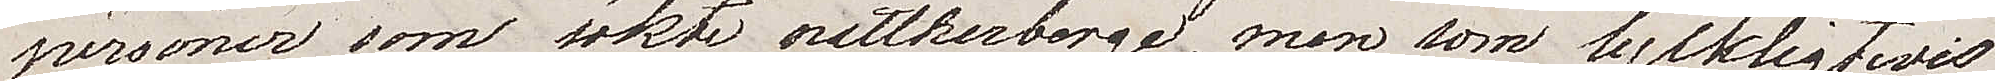personer som sökte nattherberge, men som lyckligtvis
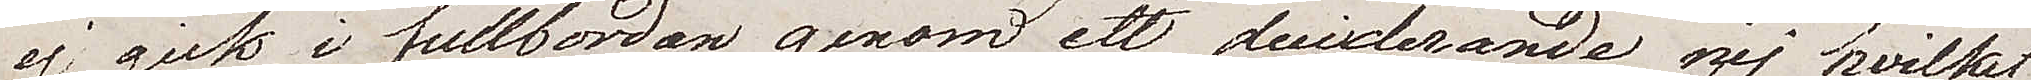ej gick i fullbordan, genom ett dundrande nej hwilket 
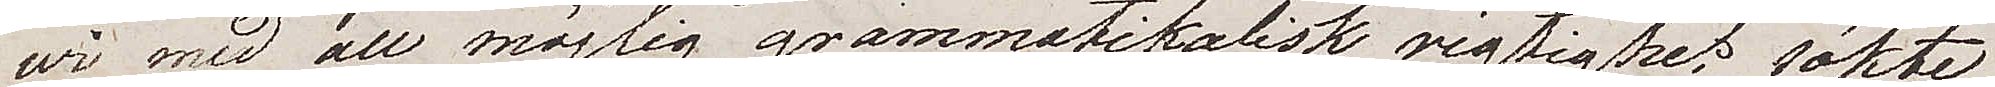wi med all möjlig grammatikalisk rigtighet sökte
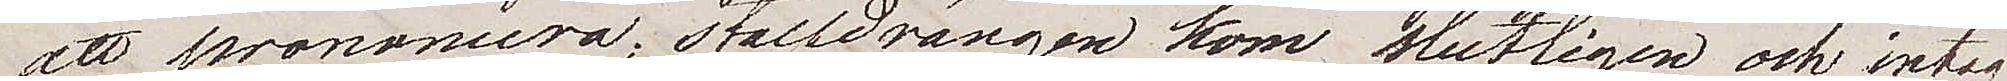att prononcera; stalldrängen kom slutligen och intog
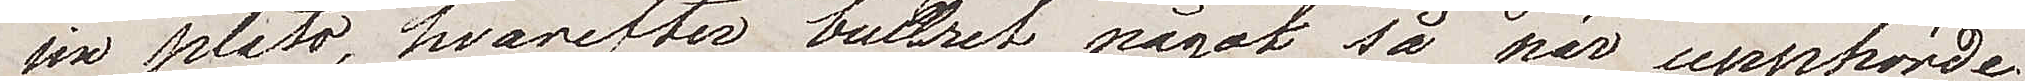sin plats, hvarefter bullret något så när upphörde.
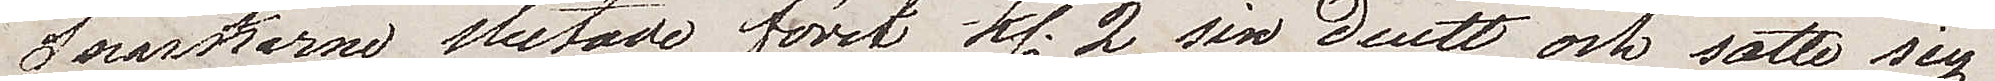Snarkarna slutade först kl 2 sin duett, och satte sig
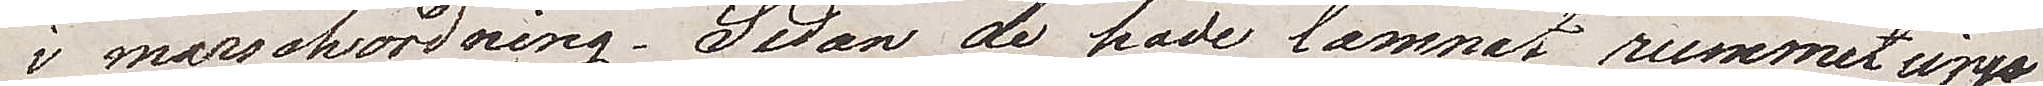i marschordning. Sedan de hade lämnat rummet upp¬
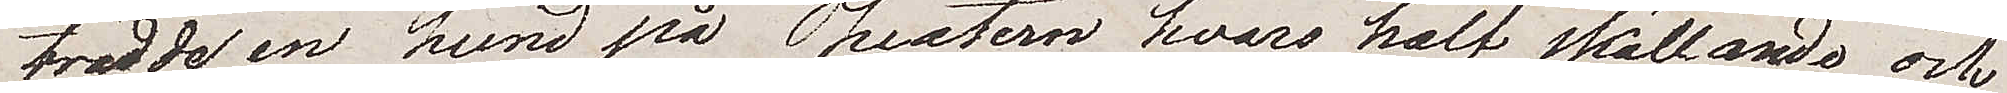trädde en hund på Theatern hvars half skällande och
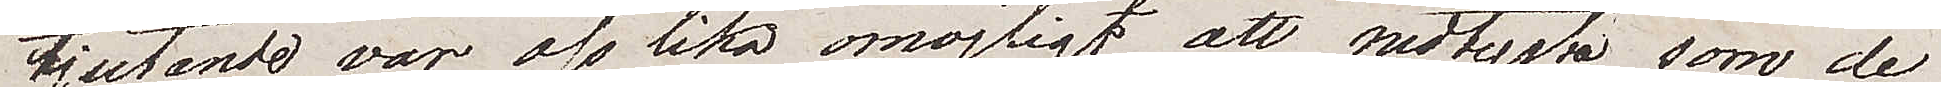tjutande var oss lika omöjligt att nedtysta som de
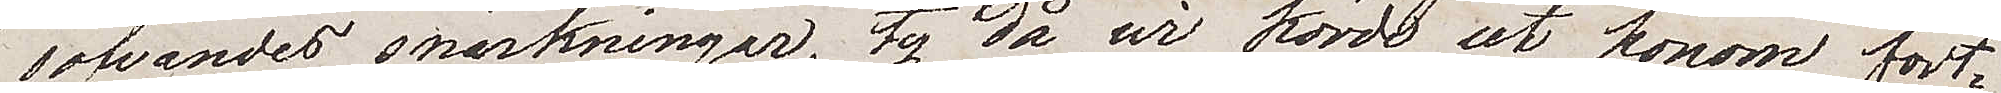sofvandes snarkningar, ty då vi körde ut honom fort¬
